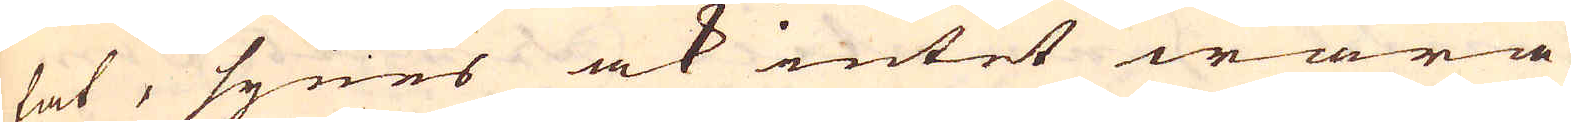tat, synes ock intet wara
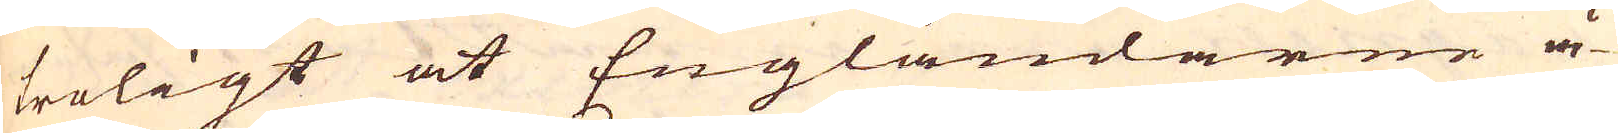troligt at Engländarne å-
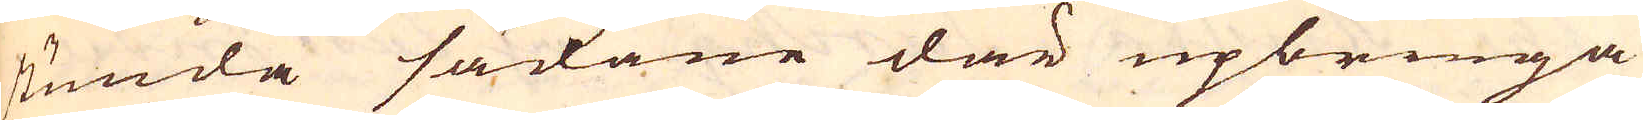stunda sådane där upbringa
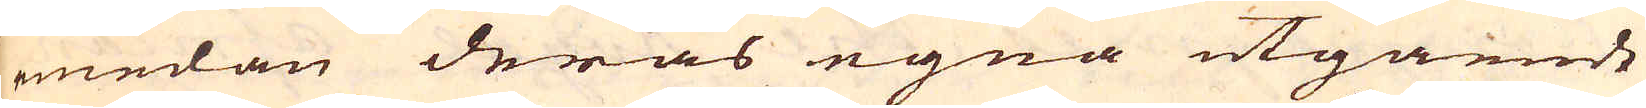emedan deras egna utgående
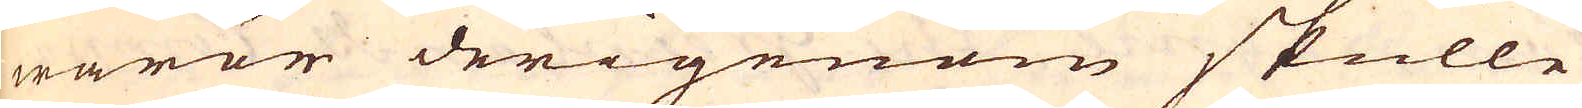waror derigenom skulle
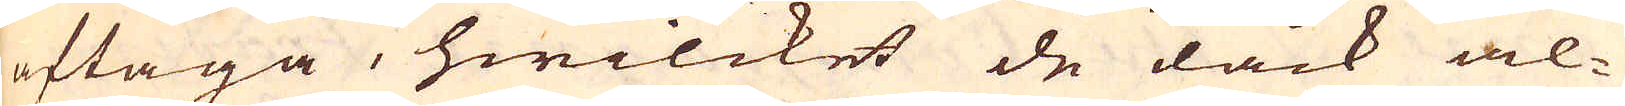aftaga, hwilcket de dåck al-
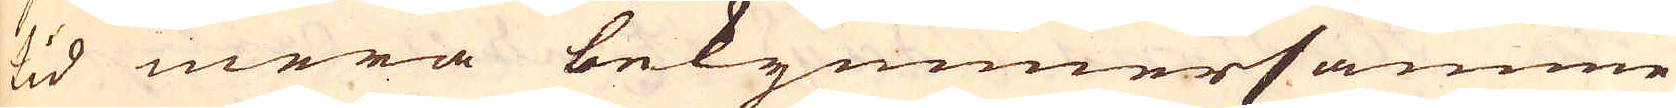tid mera bekymmersamme
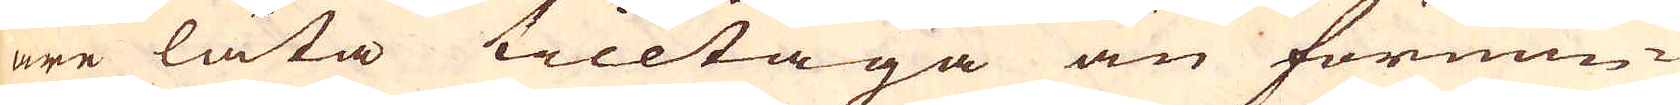äre låta tilltaga än förmin-
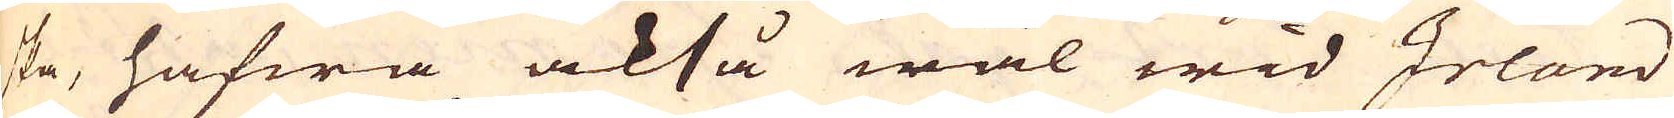ska, hafwa också wäl wid Irland
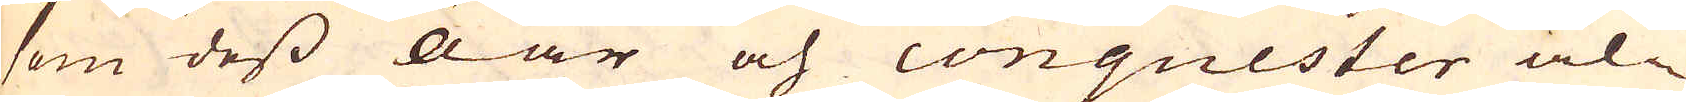som dess Öar och conquester al-
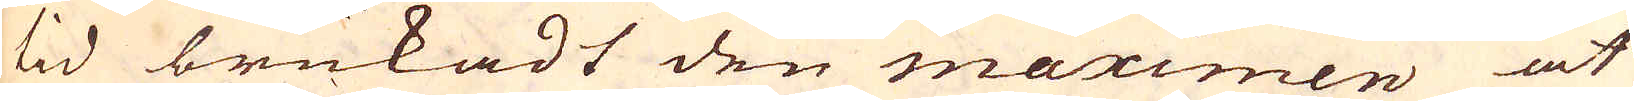tid brukadt den maximen at
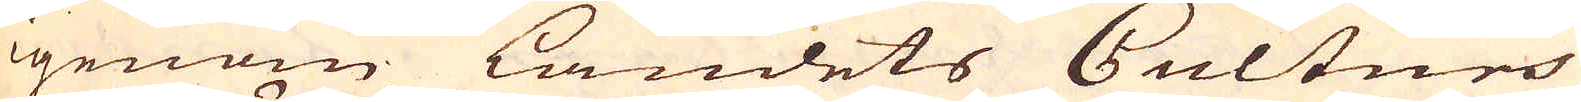igenom landets Culturs
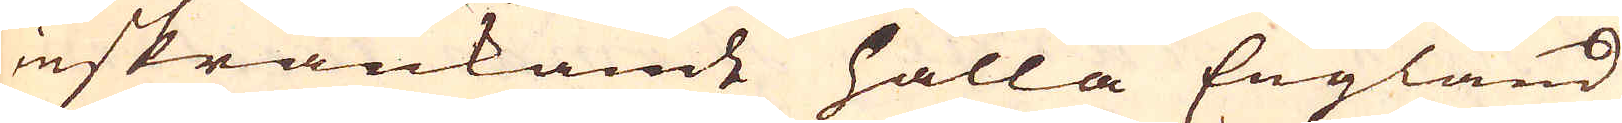inskränkande hålla England
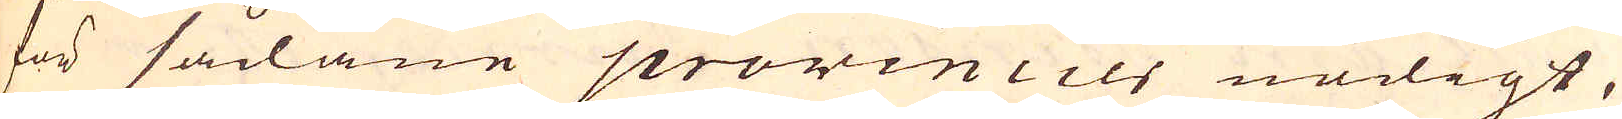för sådane provincier nödigt,
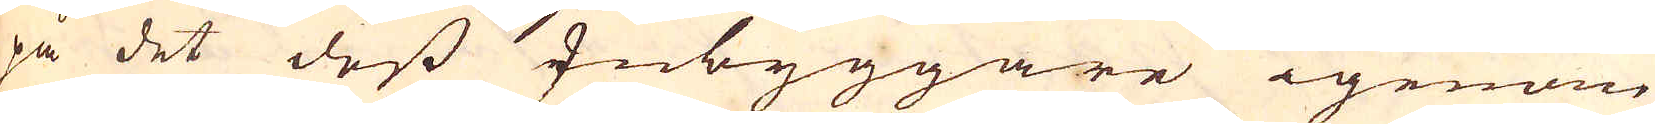på det dess Inbyggare igenom
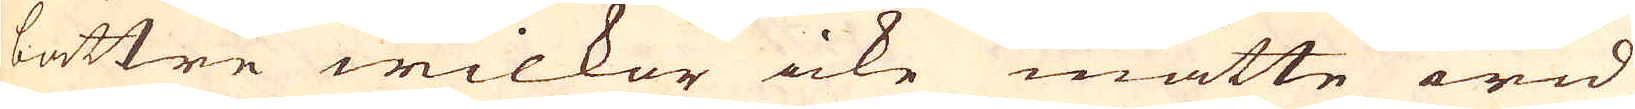bättre wilkor icke måtte wid
